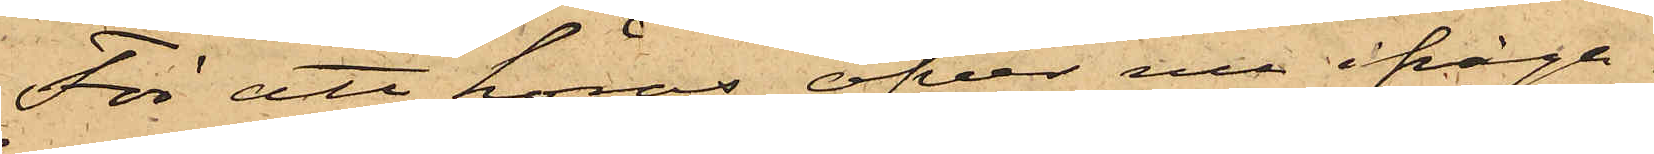För att höras öfver nu ifråga¬
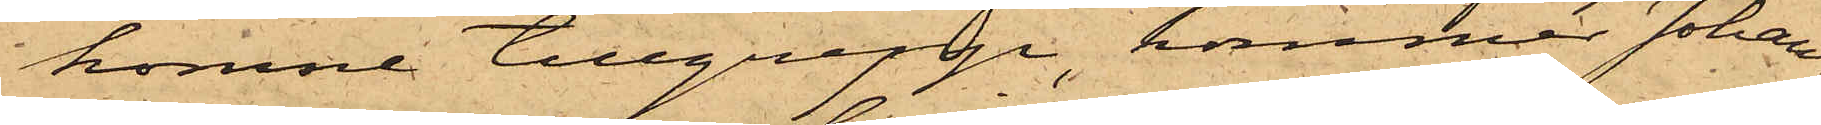komne tillgrepp, kommer Johan¬
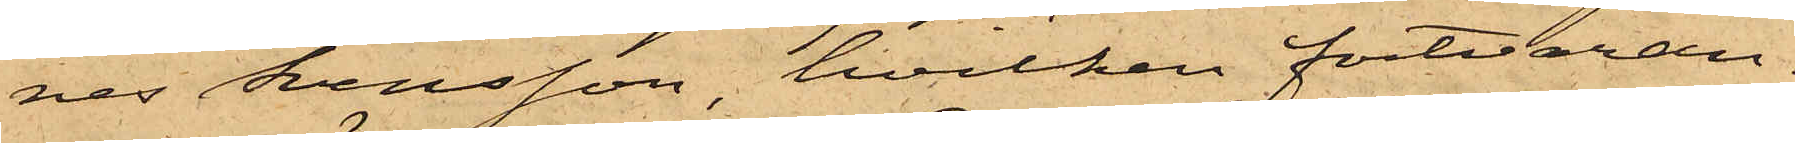nes Svensson, hvilken fortvaran¬
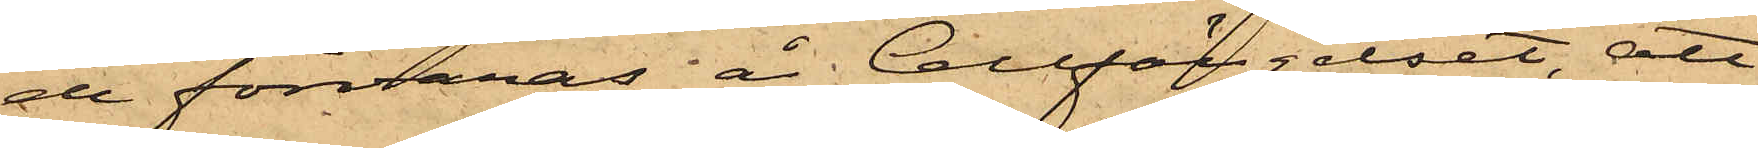de förvaras å Cellfängelset, att
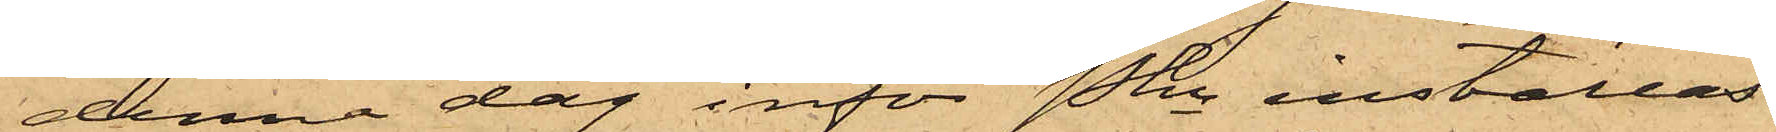denna dag inför Pkn inställas.
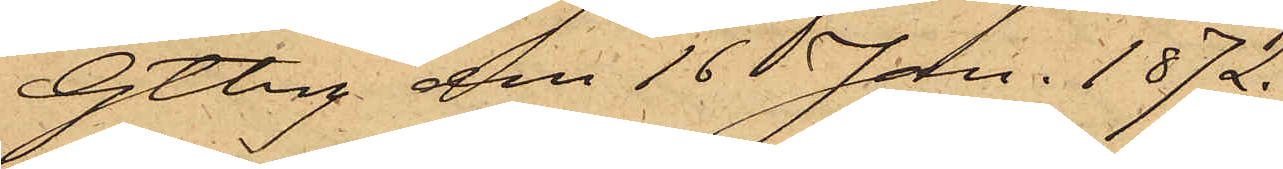Gtbg den 16 Jan. 1872.
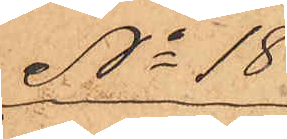No 18
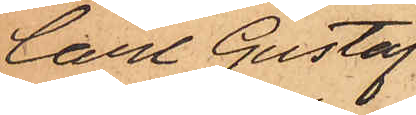Carl Gustaf
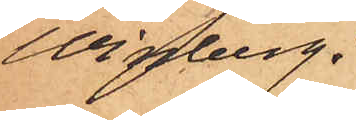Winberg.
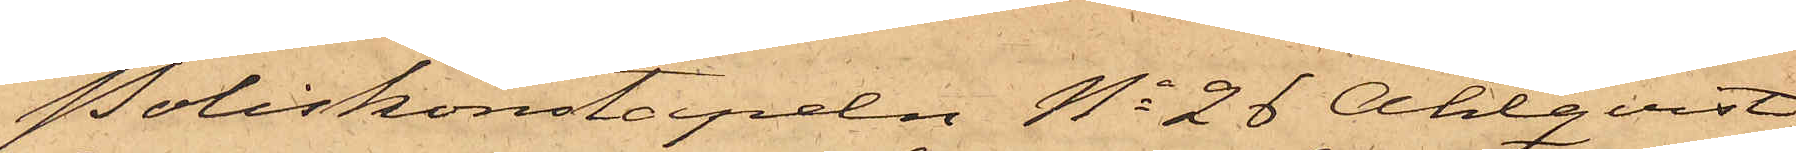Poliskonstapeln No 26 Ahlqvist
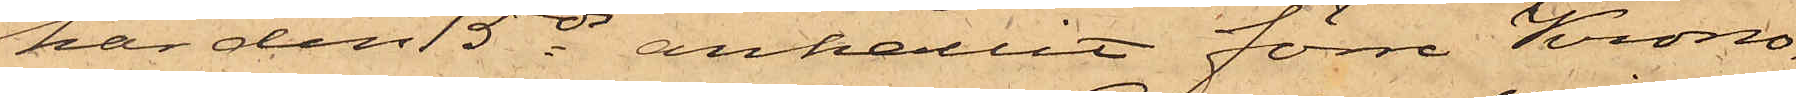har den 15 ds anhållit förre Krono¬
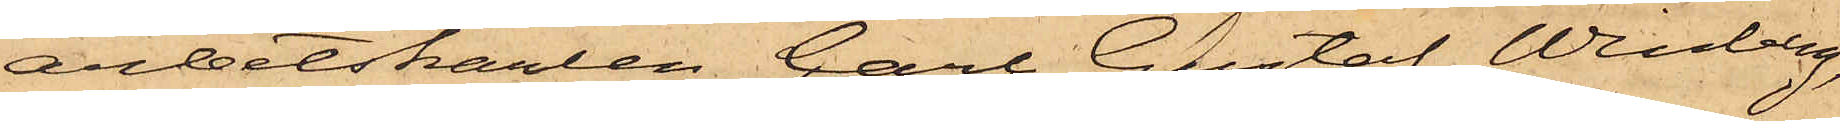arbetskarlen Carl Gustaf Winberg,
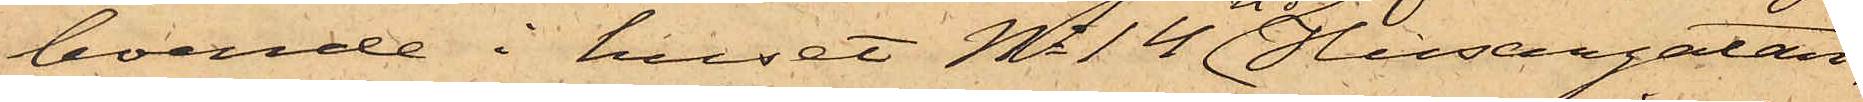boende i huset No 14 vid Husargatan,
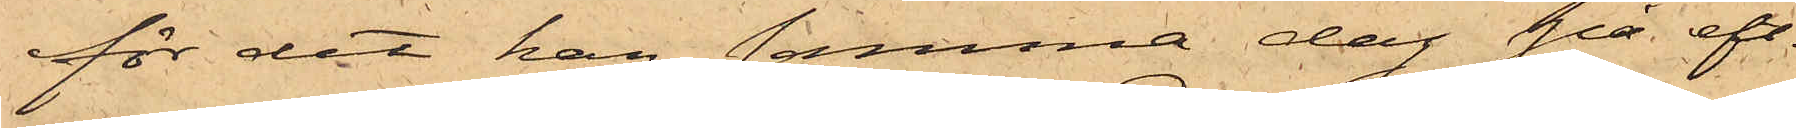för det han samma dag på eft.
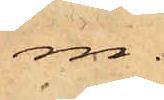m.
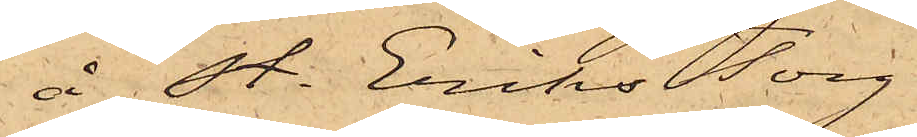å St. Eriks Torg
